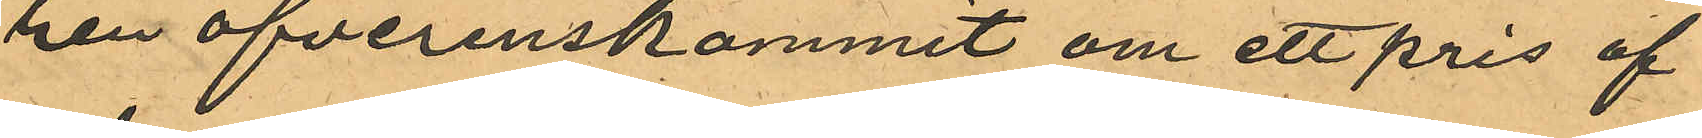rén öfverenskommit om ett pris af
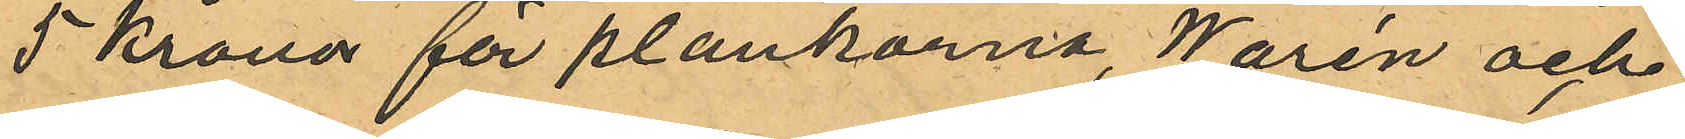5 kronor för plankorna, Warén och
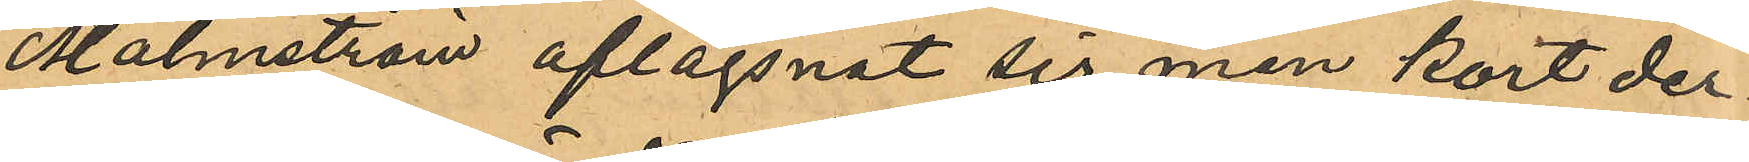Malmström aflägsnat sig men kort der¬
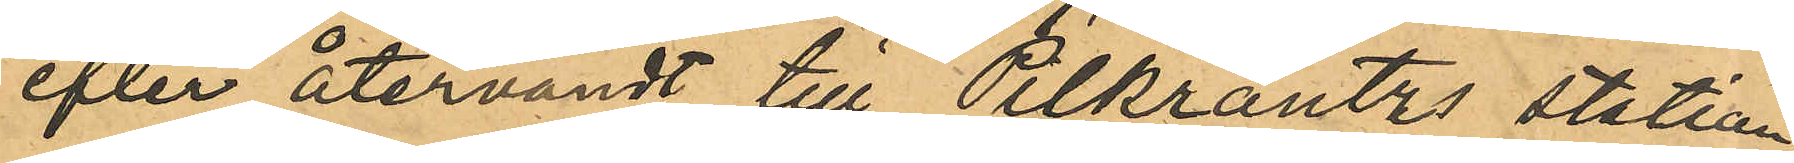efter återvändt till Pilkrantzs station
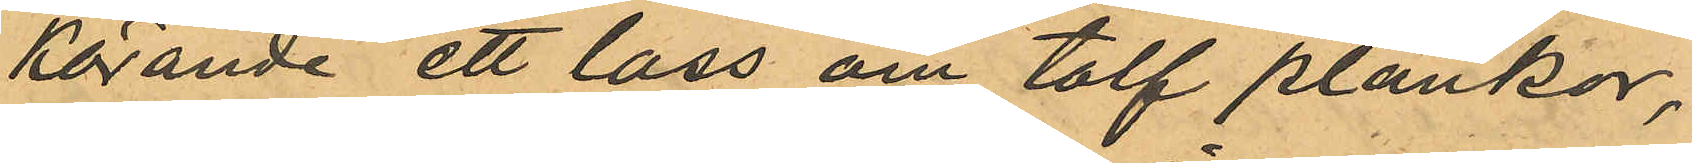körande ett lass om tolf plankor,
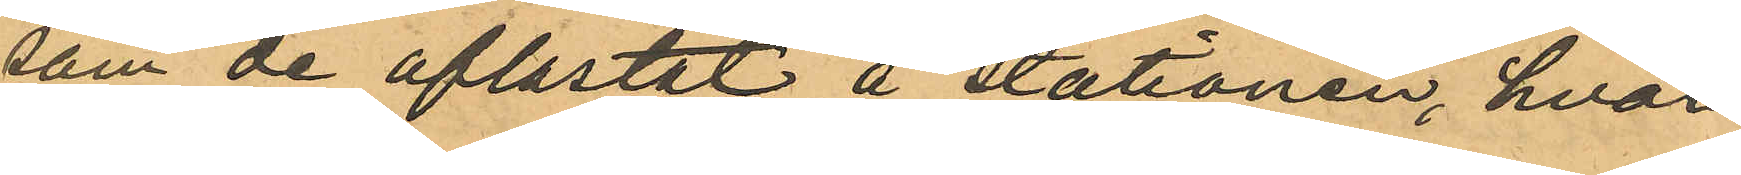som de aflastat å stationen, hvar¬
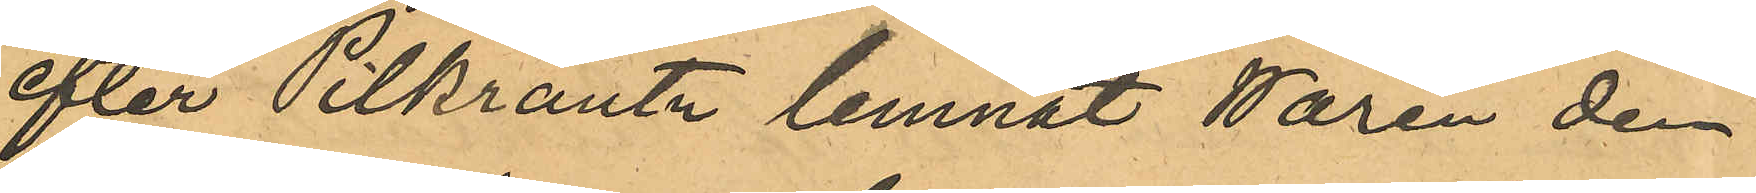efter Pilkrantz lemnat Warén den
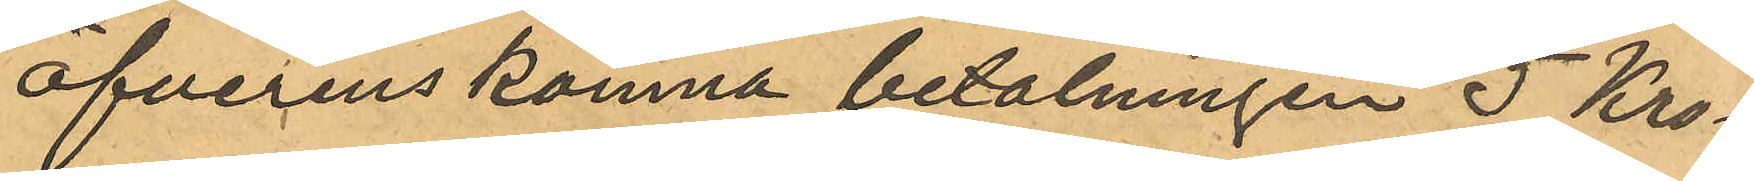öfverenskomna betalningen 5 Kro¬
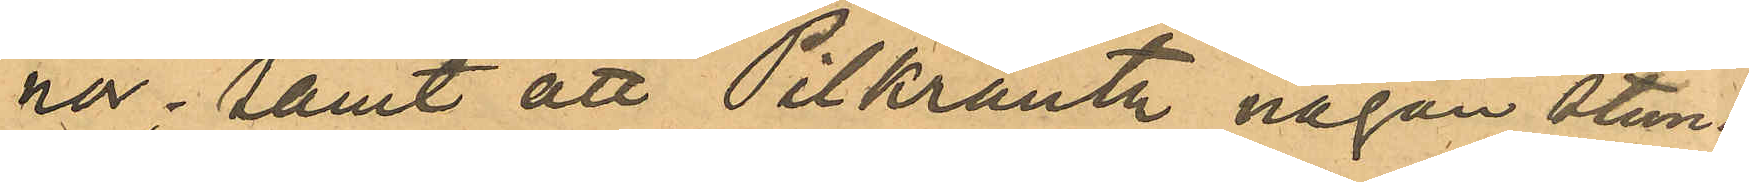nor; samt att Pilkrantz någon stund
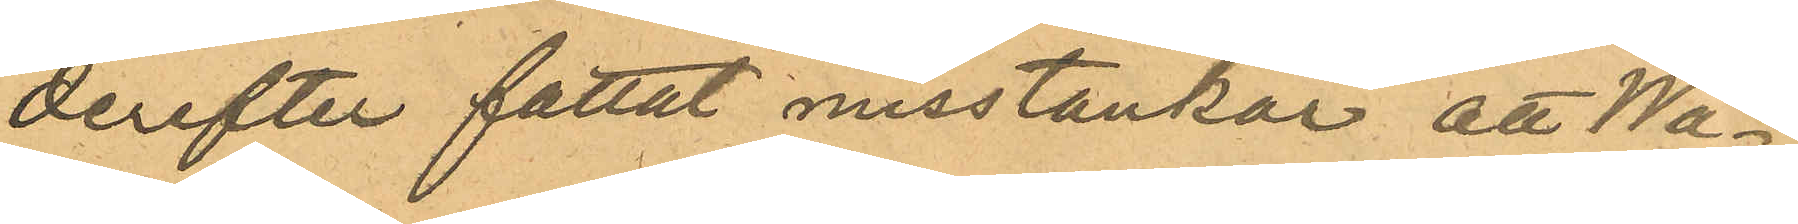derefter fattat misstankar, att Wa¬
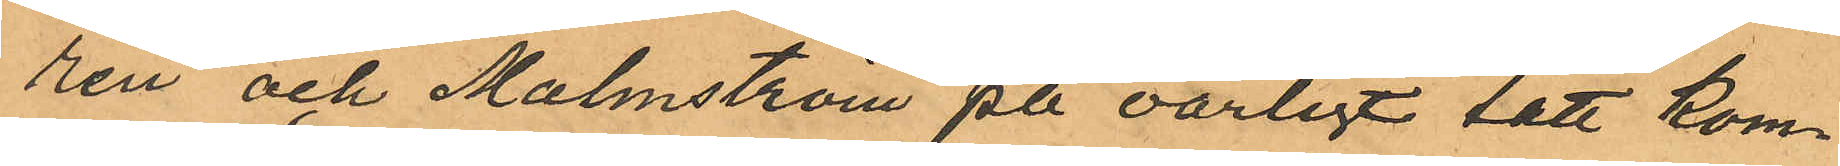rén och Malmström på oärligt sätt kom¬
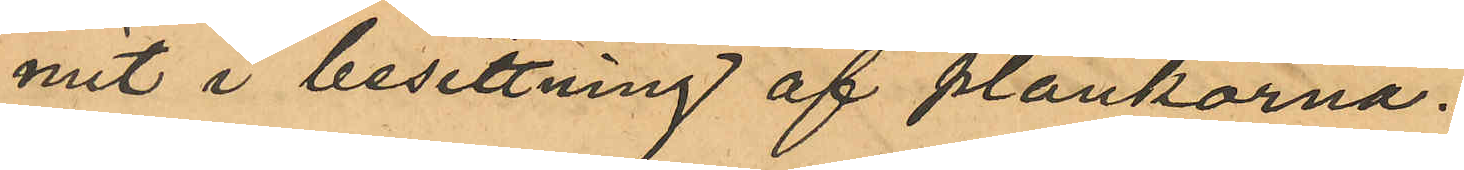mit i besittning af plankorna.
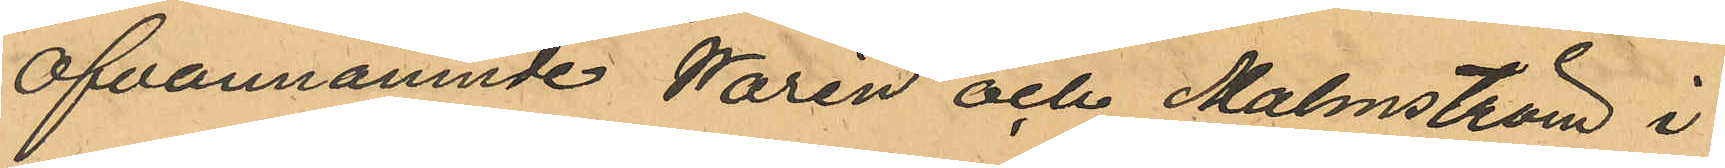Ofvannämnde Warén och Malmström i
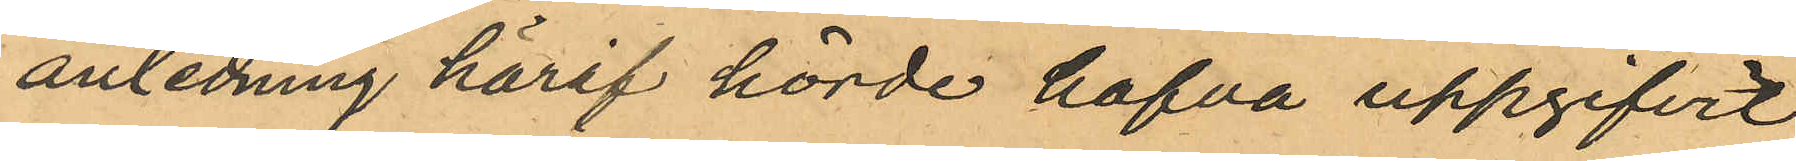anledning häraf hörde hafva uppgifvit
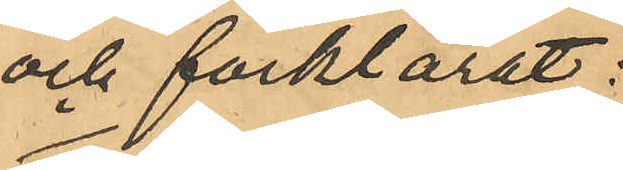och förklarat:
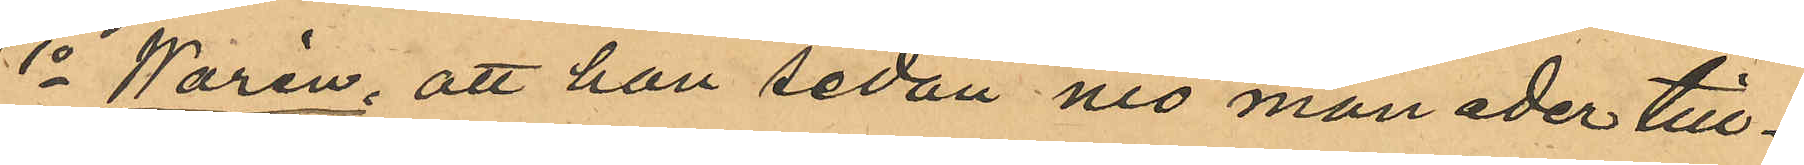1o Warén, att han sedan nio månader till¬
